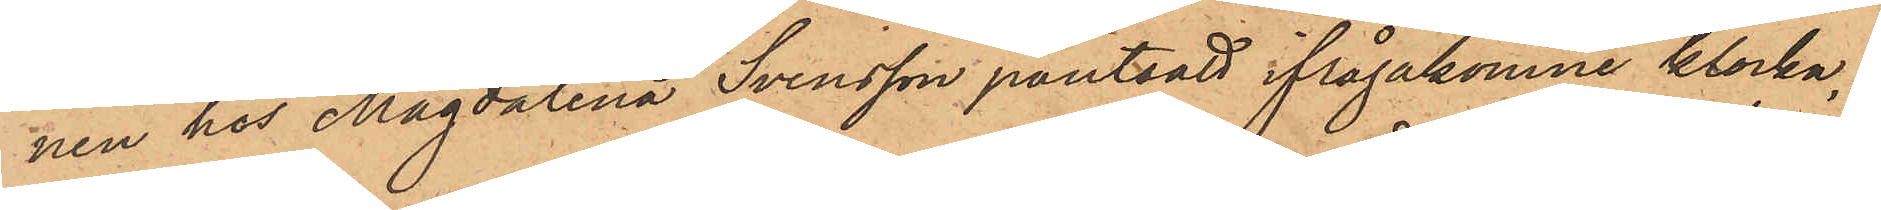nen hos Magdalena Svensson pantsatt ifrågakomne klocka,
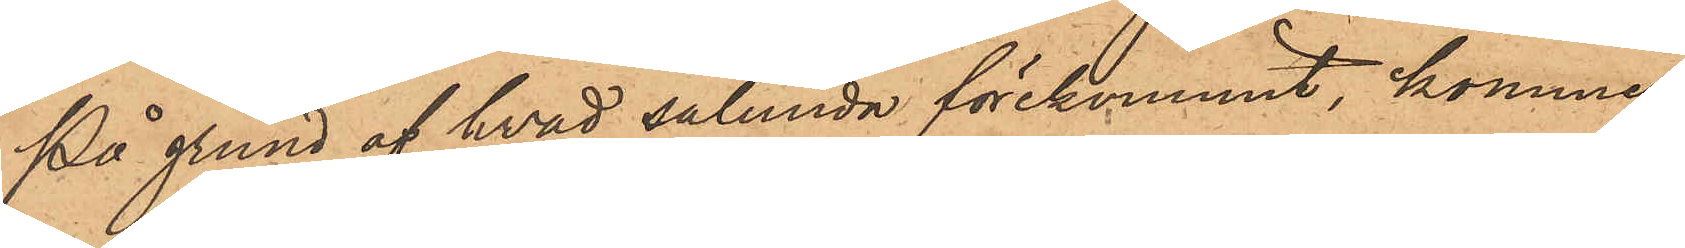På grund af hvad sålunda förekommit, kommer
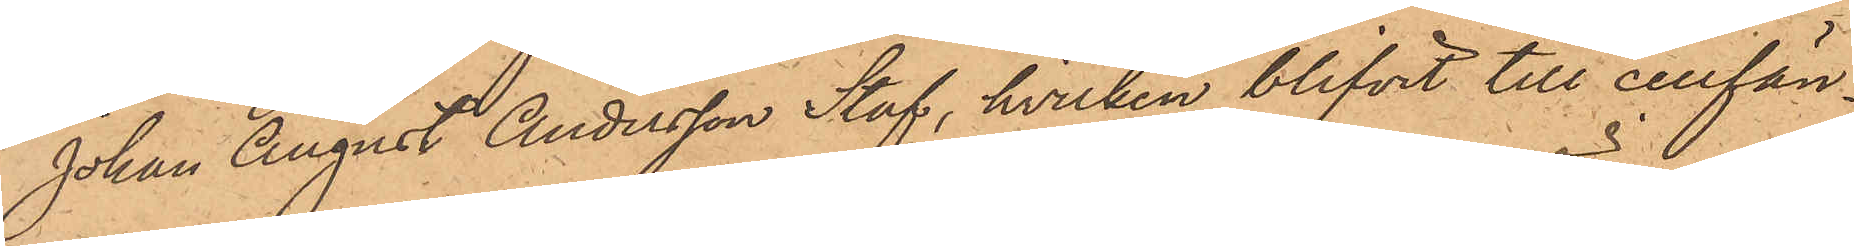Johan August Andersson Staf, hvilken blifvit till cellfän¬
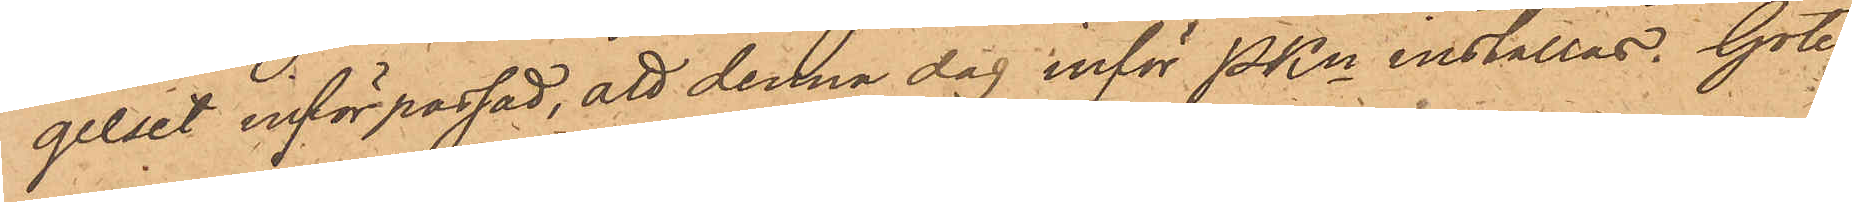gelset införpassad, att denna dag inför PKn inställas. Göte¬
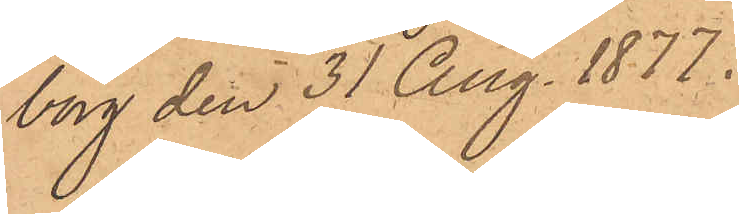borg den 31 Aug. 1877.
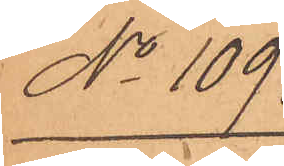No 109.
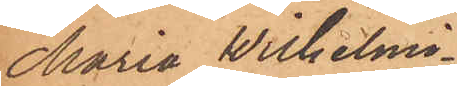Maria Wilhelmi¬
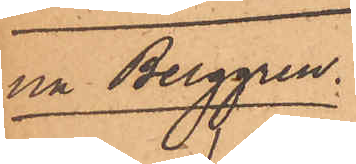na Berggren.
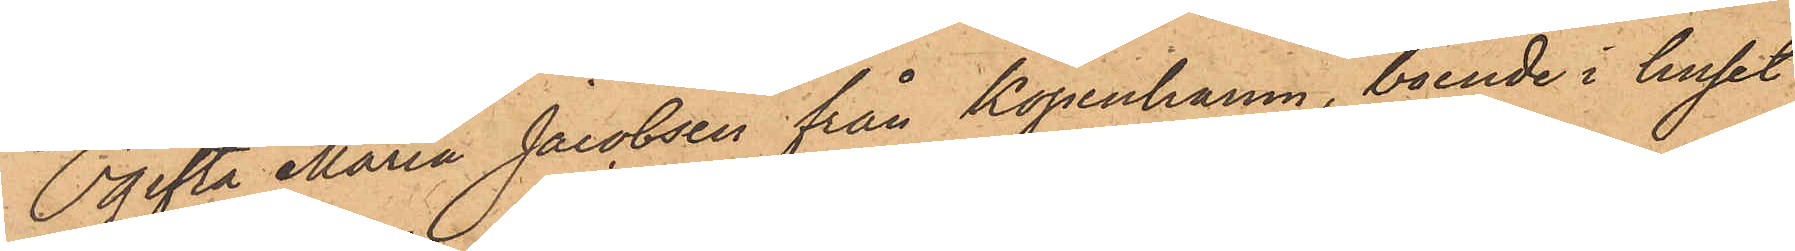Ogifta Maria Jacobsen från Köpenhamn, boende i huset
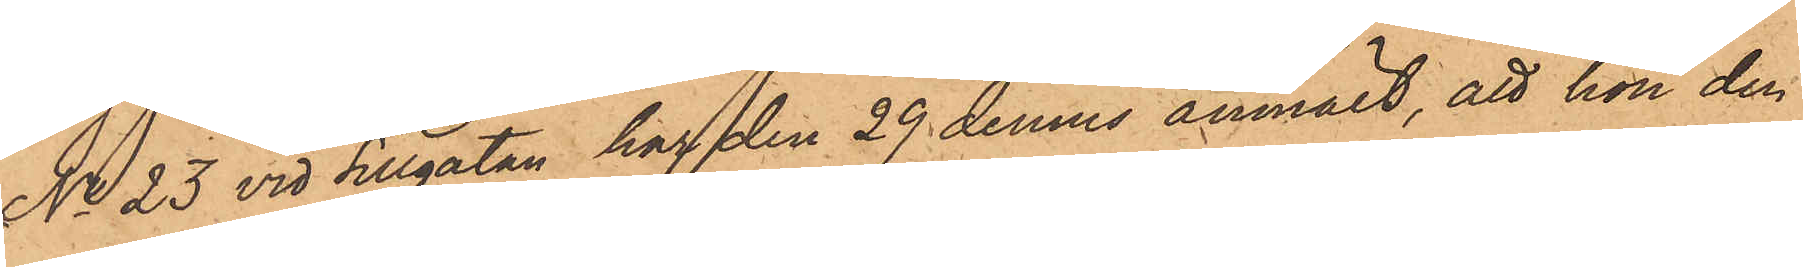No 23 vid Sillgatan har den 29 dennes anmält, att hon den
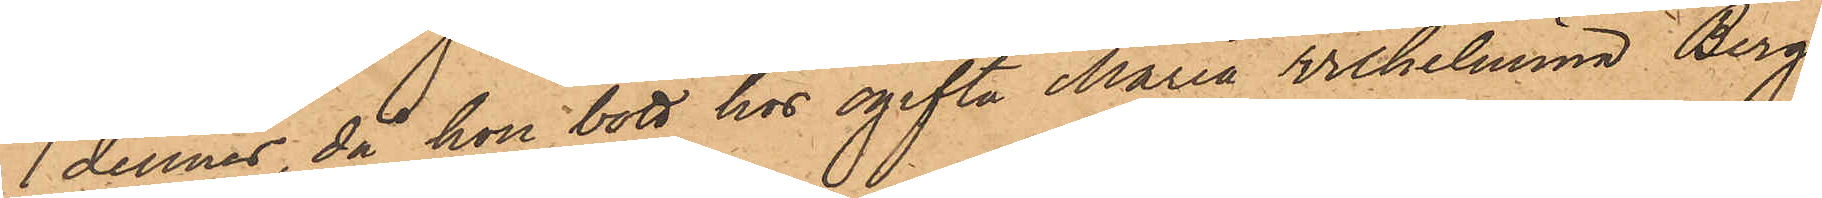1 dennes, då hon bott hos ogifta Maria Wilhelmina Berg¬
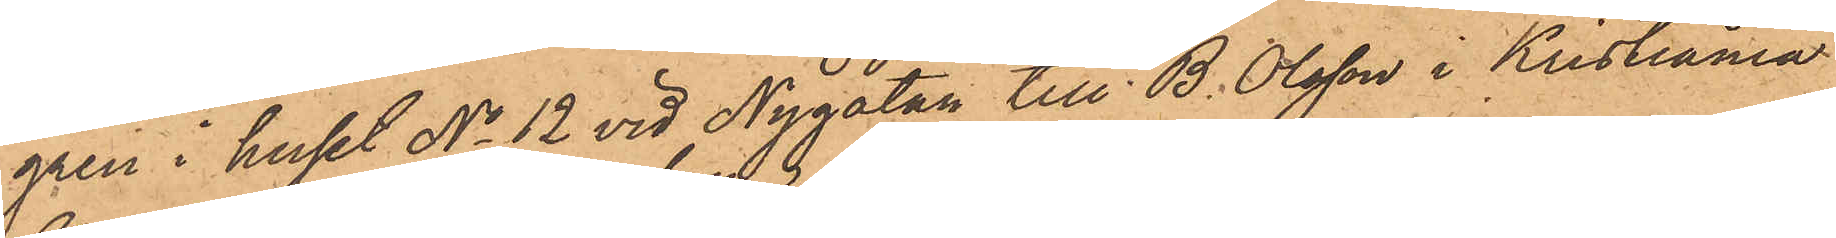gren i huset No 12 vid Nygatan till B. Olsson i Kristiania
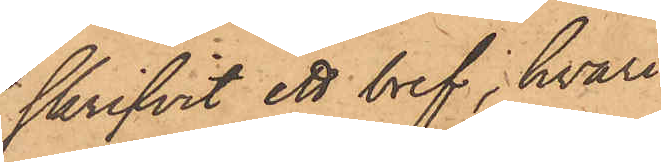skrifvit ett bref, hvari
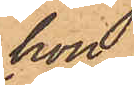hon
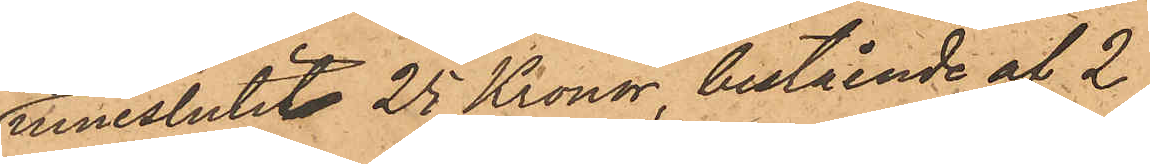inneslutit 25 Kronor, bestående af 2
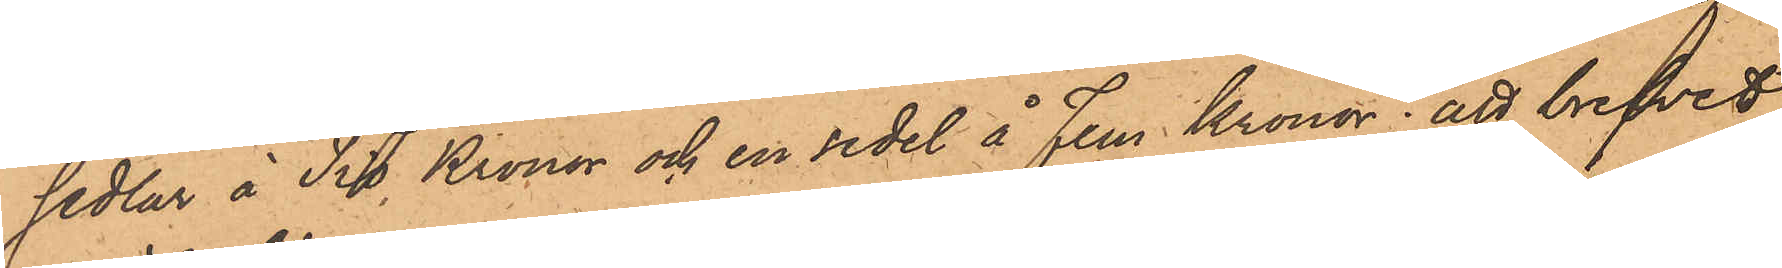sedlar å Tio Kronor och en sedel å Fem Kronor; att brefvet
